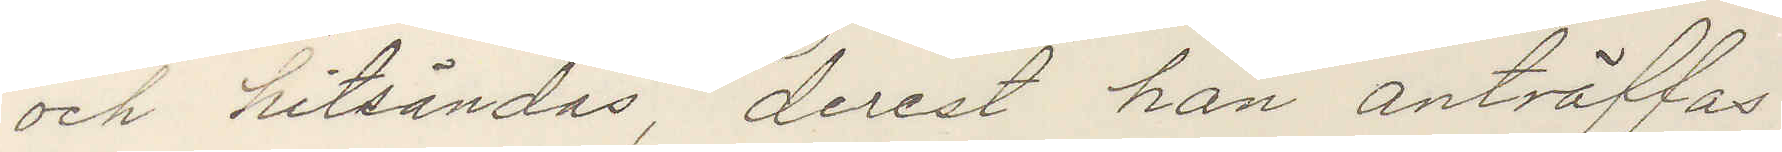och hitsändes, derest han anträffas.
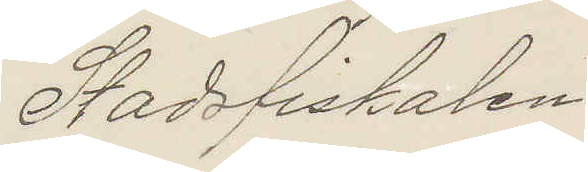Stadsfiskalen.
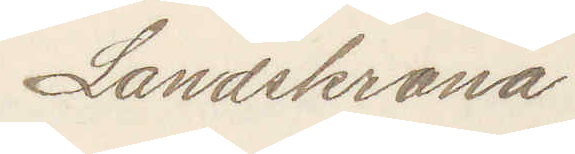Landskrona
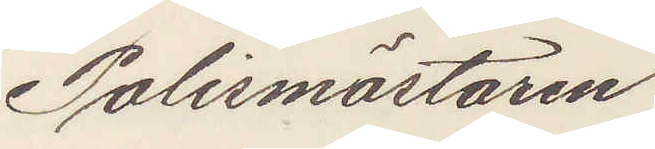Polismästaren
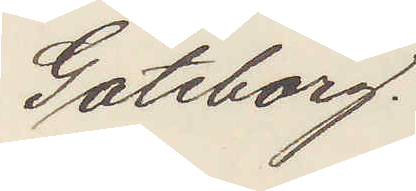Göteborg.
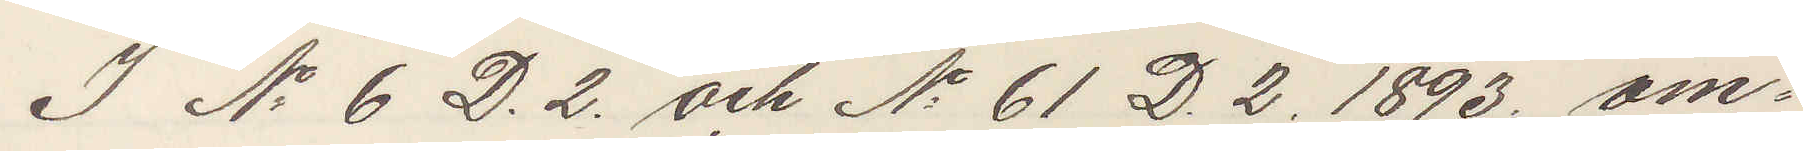I No 6 D.2. och No 61 D 2. 1893. om¬
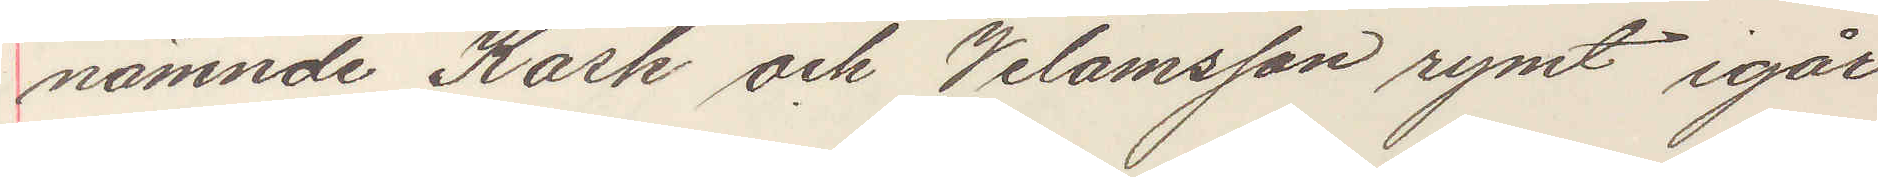nämnde Kask och Velamsson rymt igår
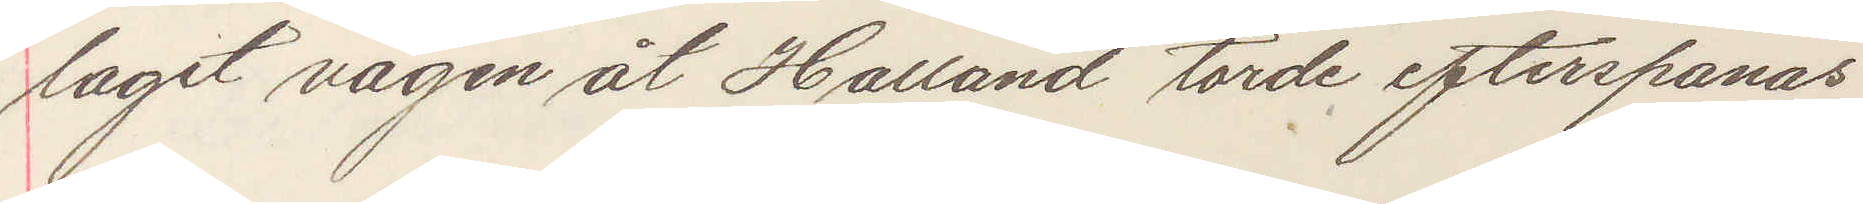tagit vägen åt Halland torde efterspanas
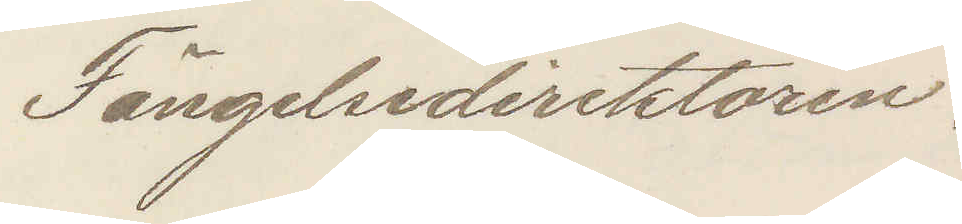Fängelsedirektören.
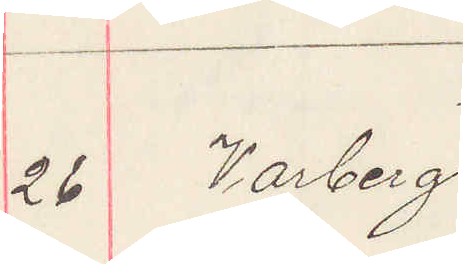26 Varberg
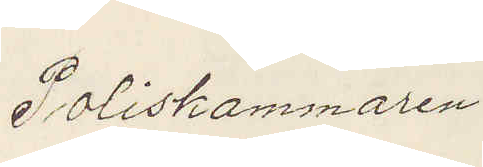Poliskammaren
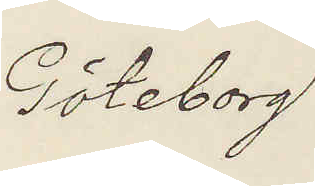Göteborg.
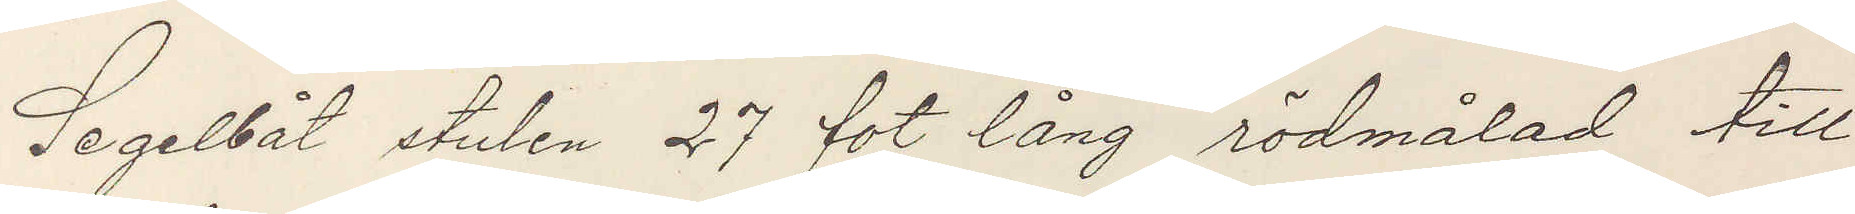Segelbåt stulen 27 fot lång rödmålad till
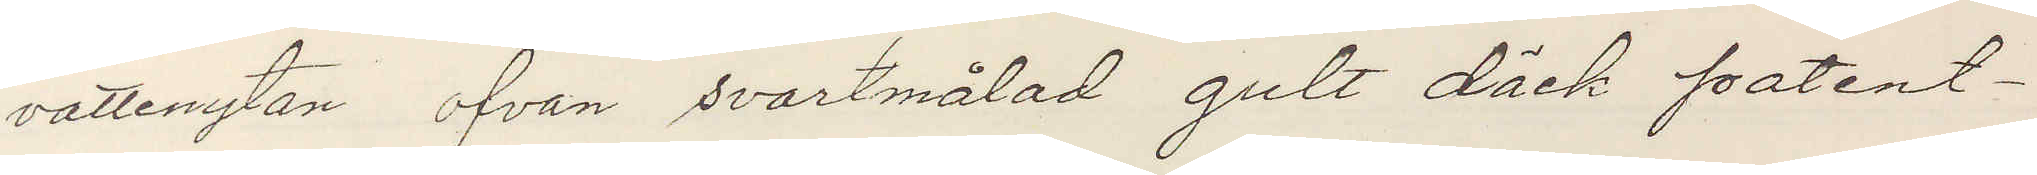vattenytan ofvan svartmålad gult däck patent¬
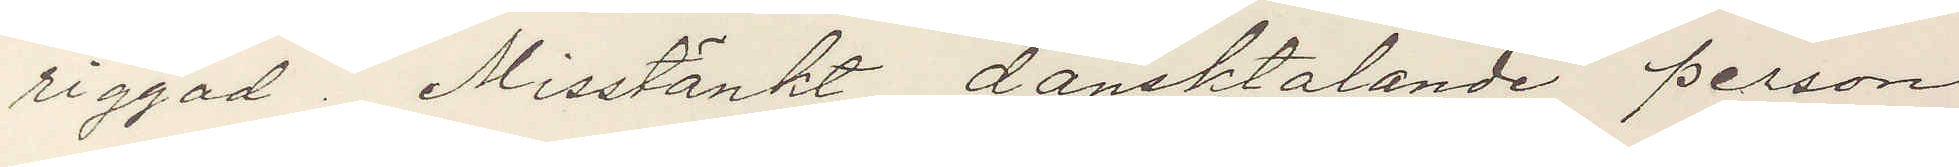riggad. Misstänkt dansktalande person
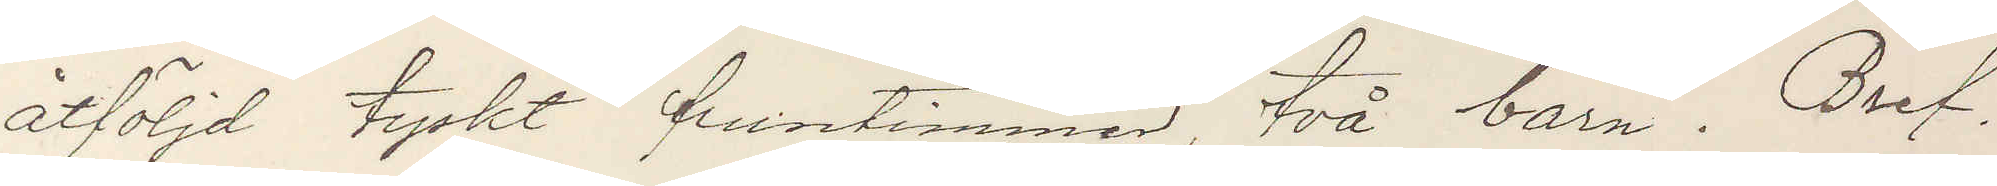åtföljd tyskt fruntimmer, två barn. Bref.
